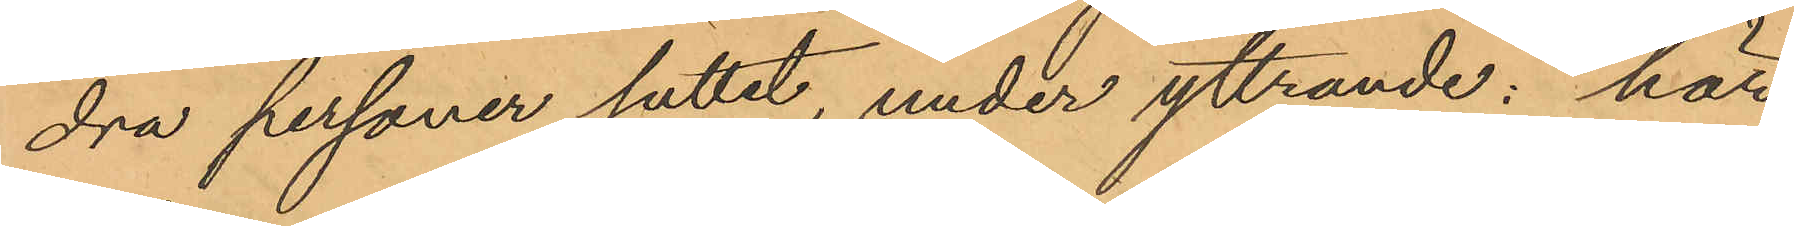dra personer suttet, under yttrande: "här
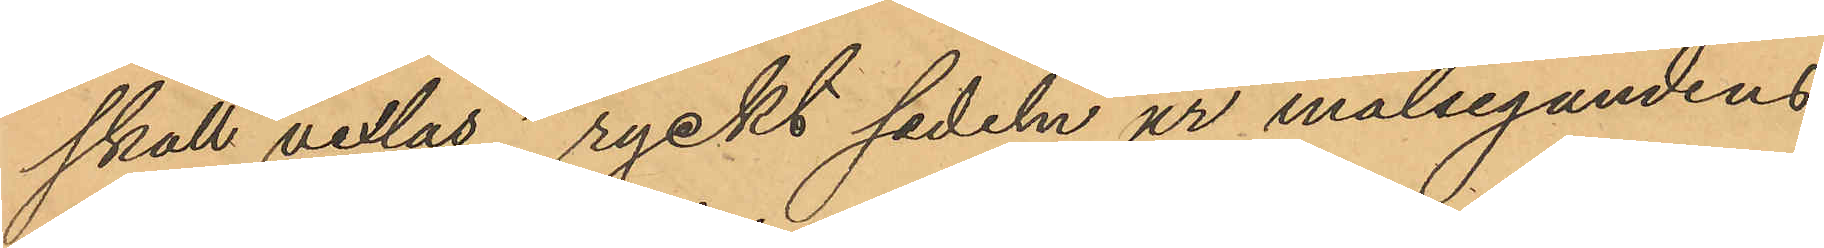skall vexlas", ryckt sedeln ur målsegandens
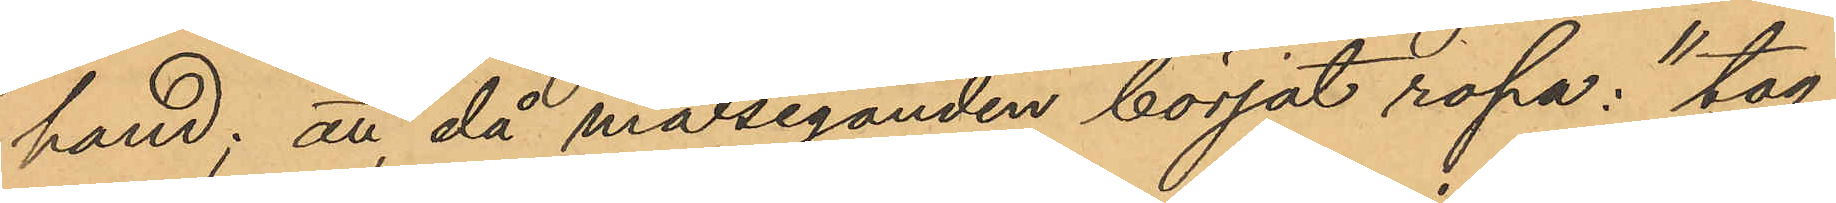hand; att då målseganden börjat ropa: "tag
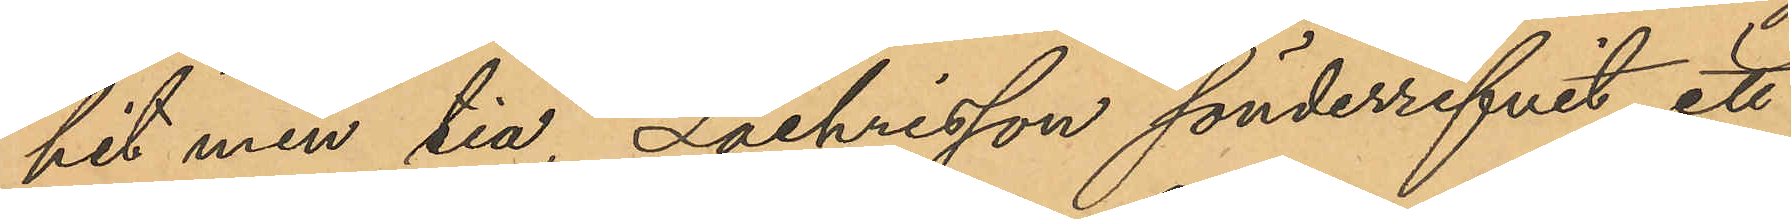hit min tia", Zachrisson sönderrifvit ett
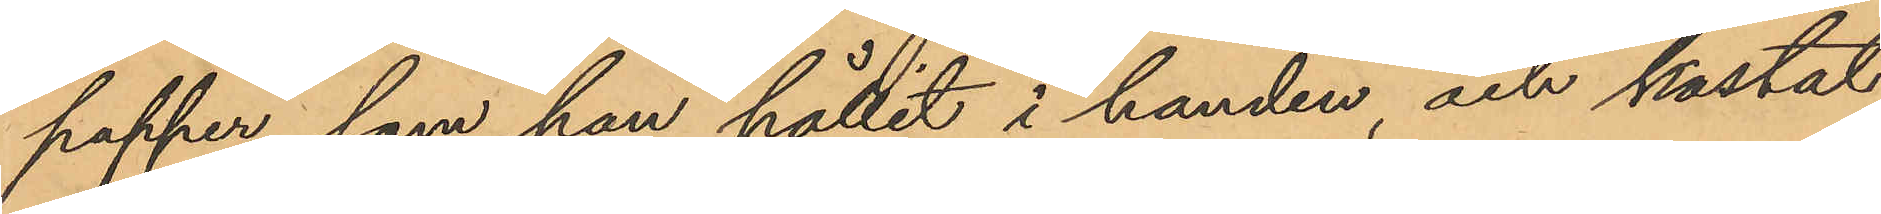papper, som han hållit i handen, och kastat
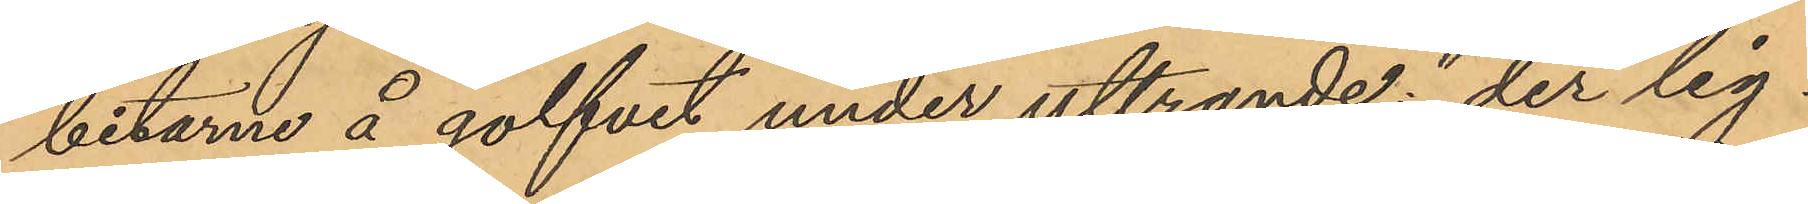bitarne å golfvet under yttrande: "der lig¬
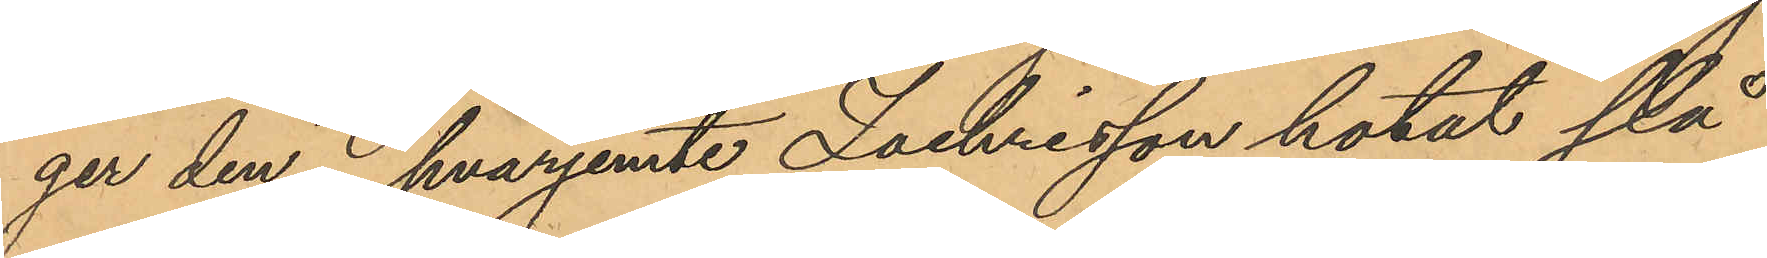ger den", hvarjemte Zachrisson hotat slå
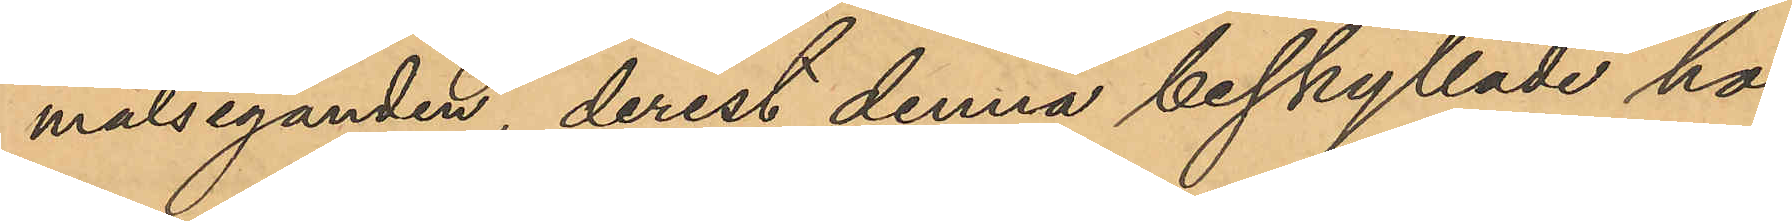målseganden, derest denna beskyllade ho¬
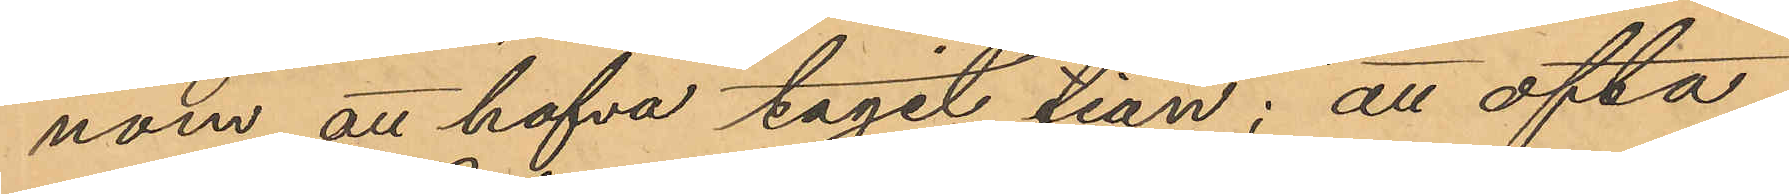nom att hafva tagit tian; att ofta¬
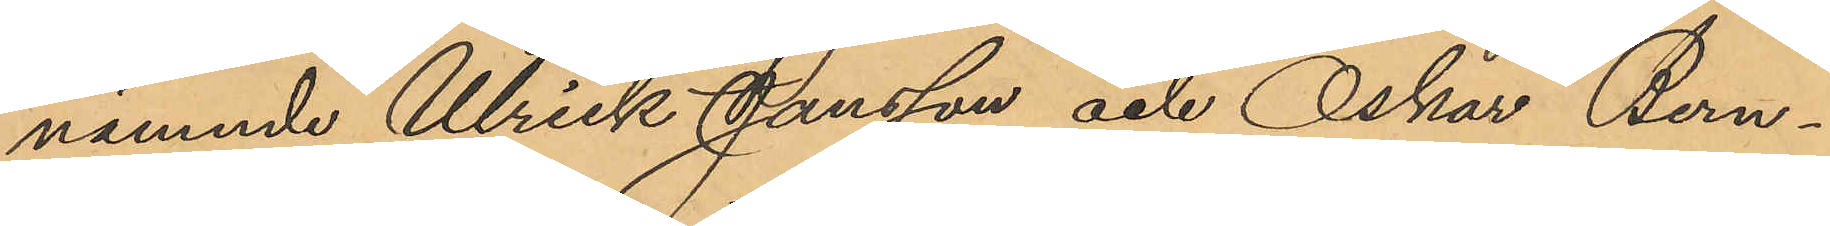nämnde Ulrick Jansson och Oskar Bern¬
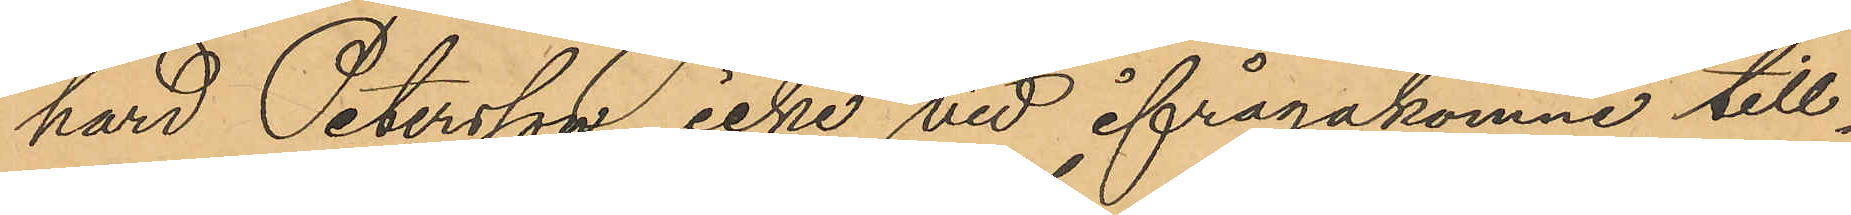hard Petersson icke vid ifrågakomne till¬
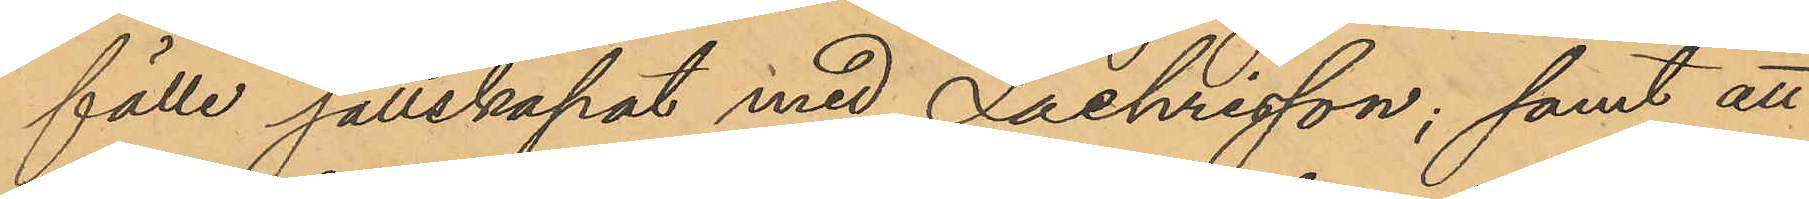fälle sällskapat med Zachrisson; samt att
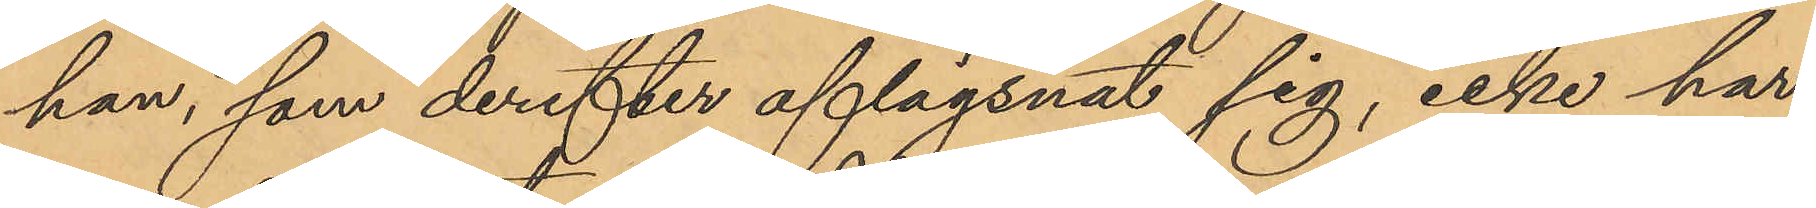han, som derefter aflägsnat sig, icke har
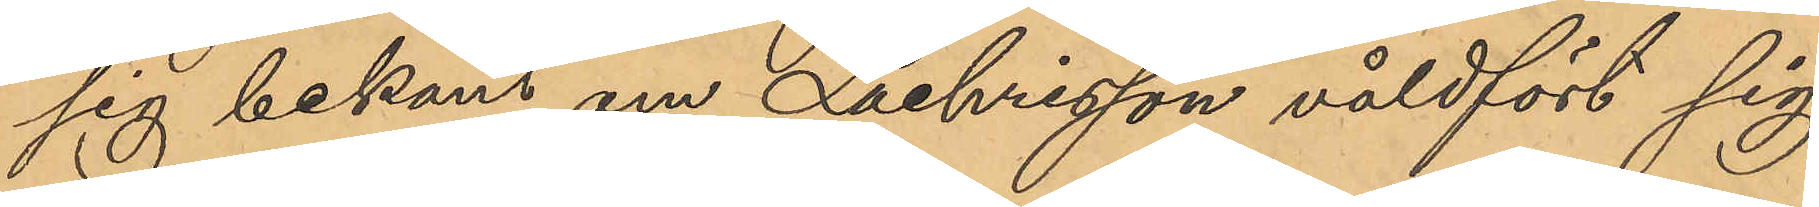sig bekant om Zachrisson våldfört sig
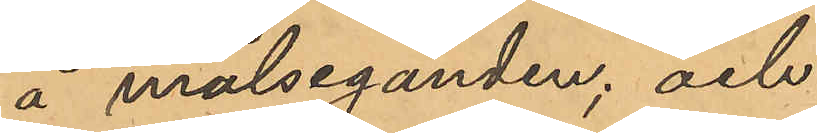å målseganden; och
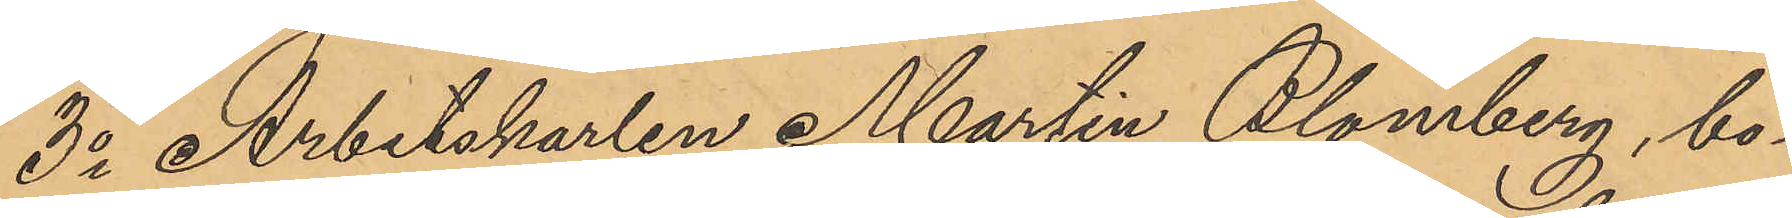3o Arbetskarlen Martin Blomberg, bo¬
